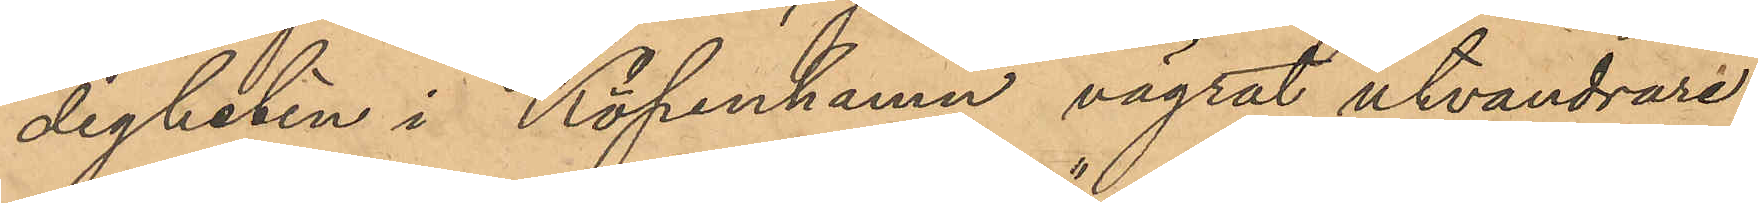digheten i Köpenhamn vägrat utvandrare
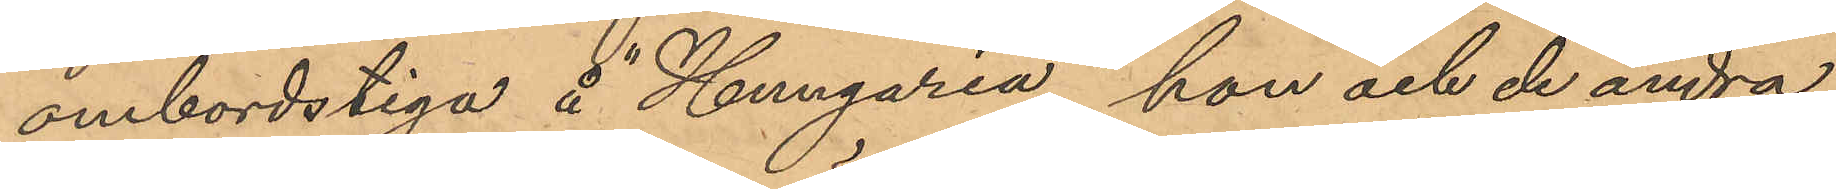ombordstiga å Hungaria, hon och de andra
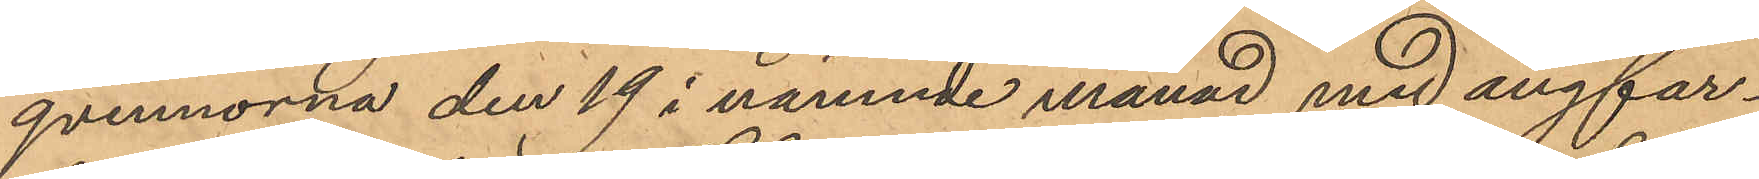qvinnorna den 19 i nämnde månad med ångfar¬
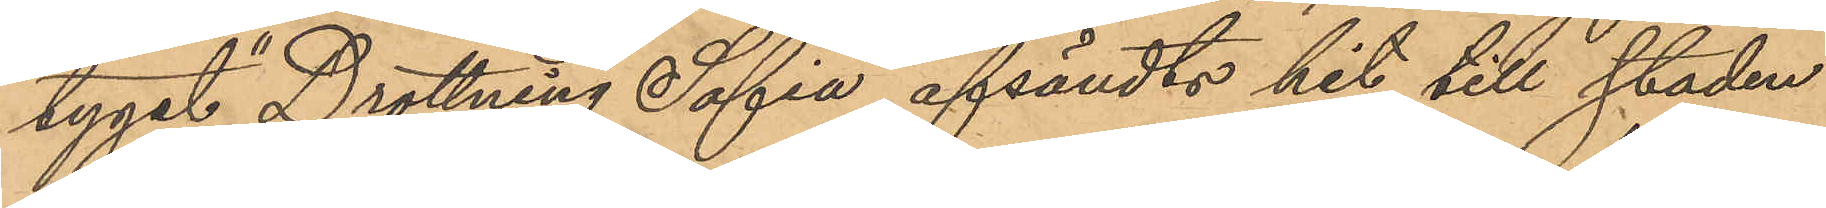tyget "Drottning Sofia" afsändts hit till staden
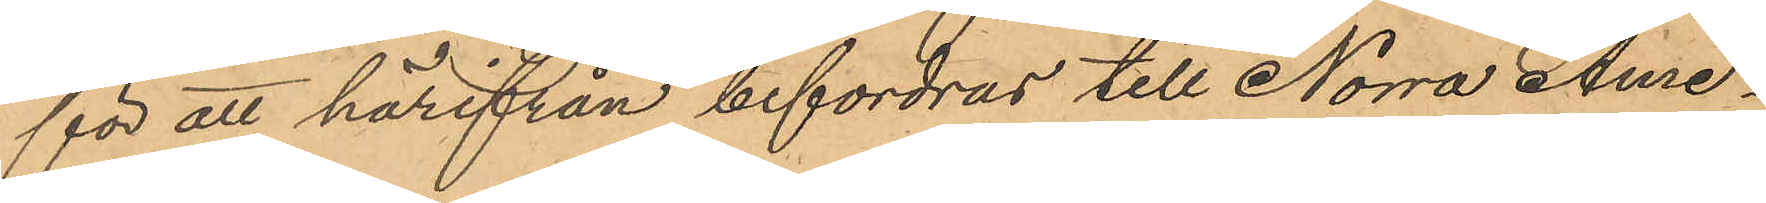för att härifrån befordras till Norra Ame¬
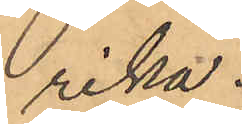rika.
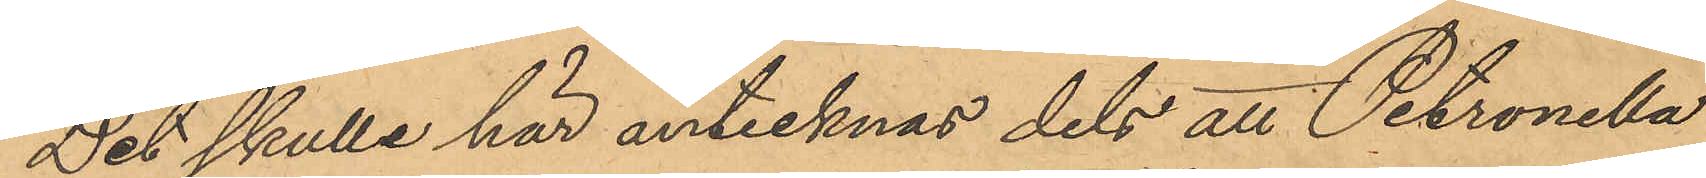Det skulle här antecknas dels att Petronella
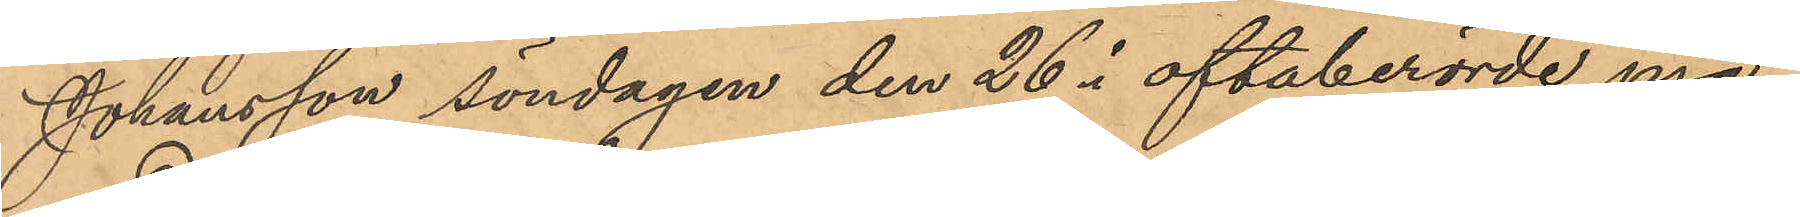Johansson söndagen den 26 i oftaberörde må¬
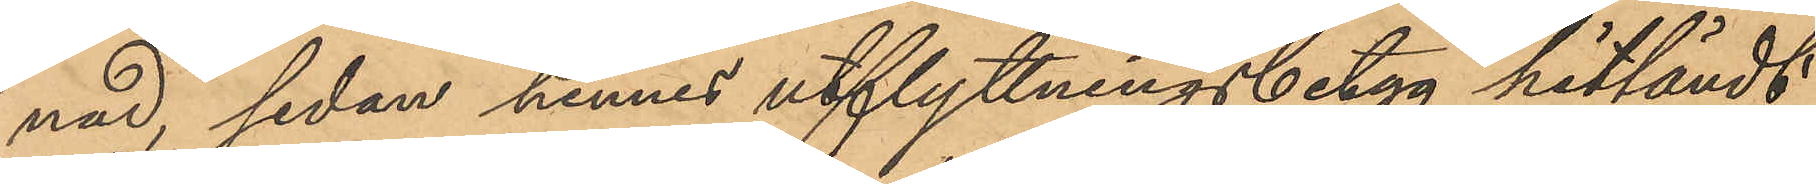nad, sedan hennes utflyttningsbetyg hitsändt
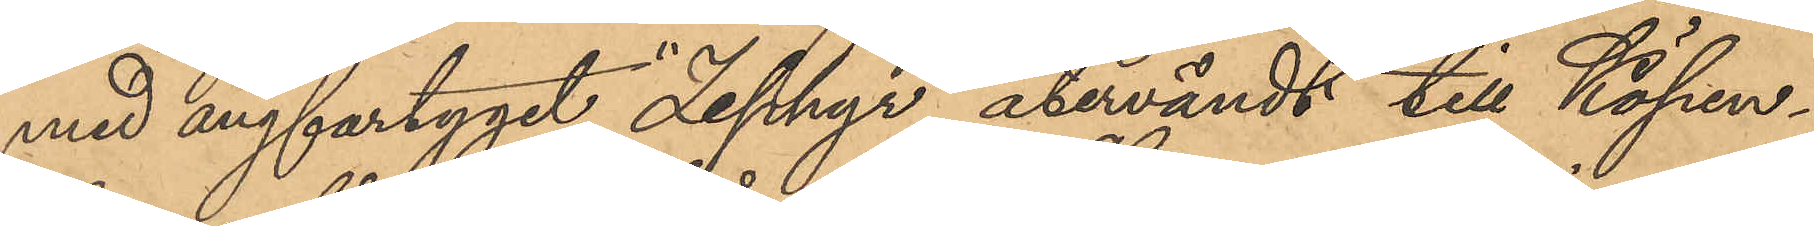med ångfartyget "Zephyr" återvändt till Köpen¬
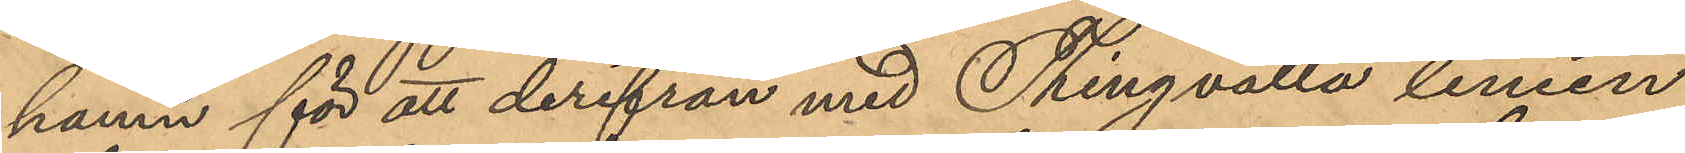hamn för att derifrån med Thingvalla linien
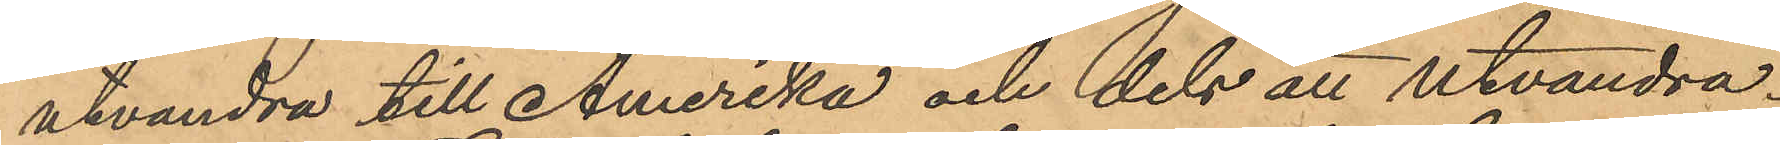utvandra till Amerika och dels all utvandra¬
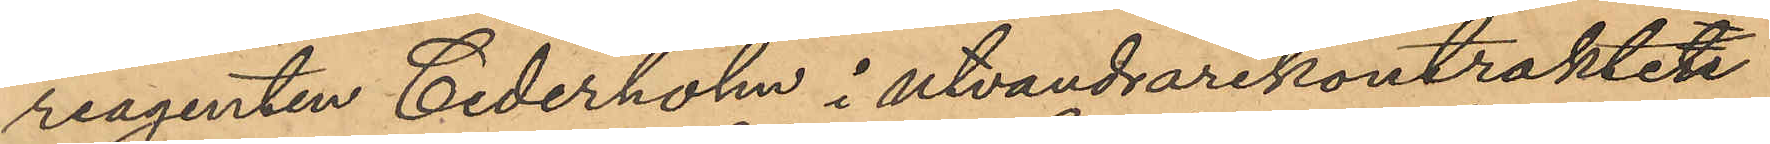reagenten Cederholm i utvandrarekontraktet
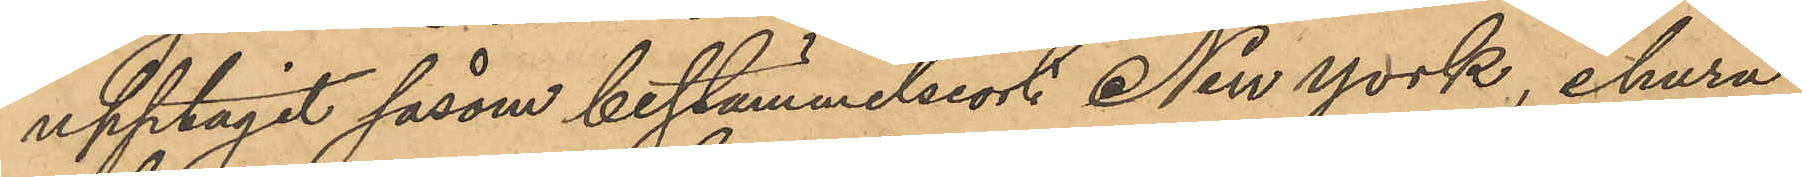upptagit såsom bestämmelseort NewYork, ehuru
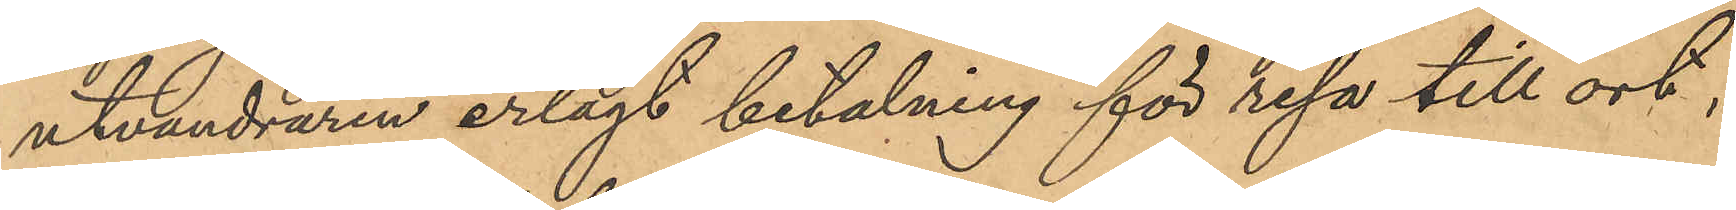utvandraren erlagt betalning för resa till ort,
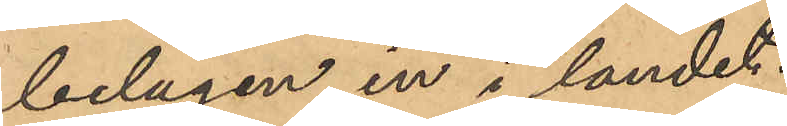belägen in i landet.
